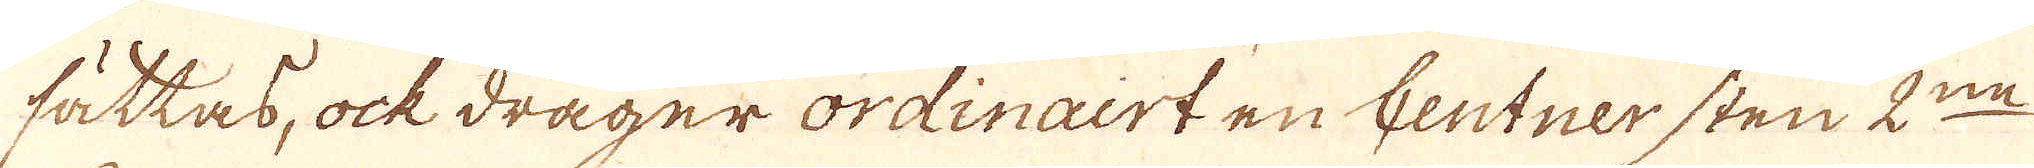sättas, ock drager ordinairt en Centner sten 2:ne
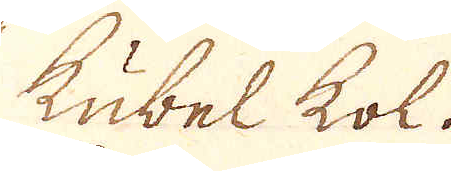Kubel kol.
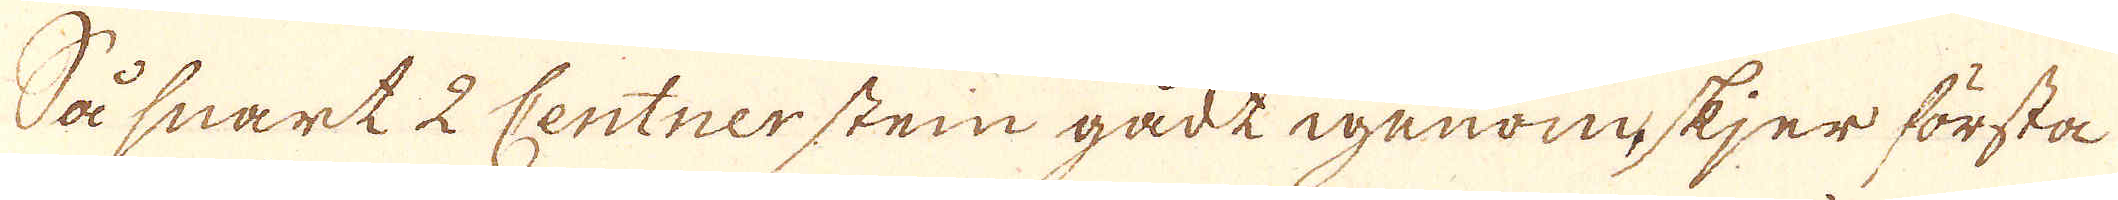Så snart 2 Centnerstein gådt igenomskjer första
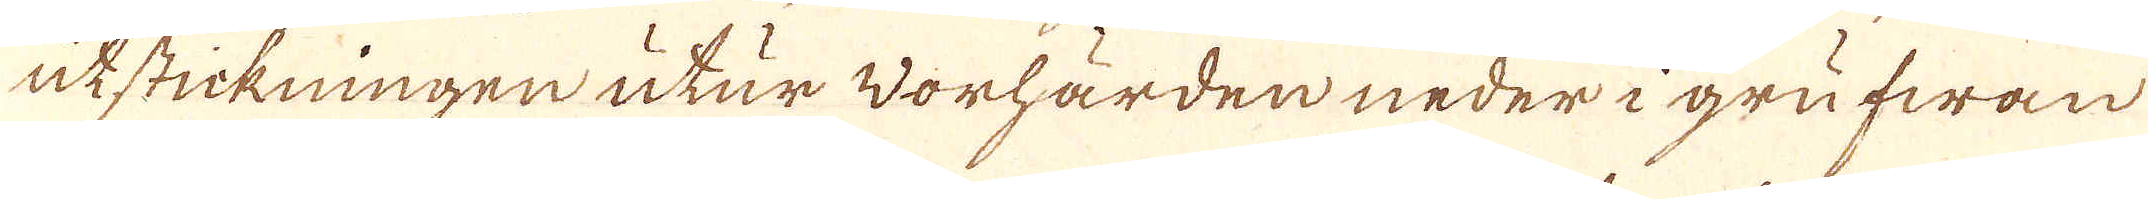utstickningen utur worhärden neder i grufwan
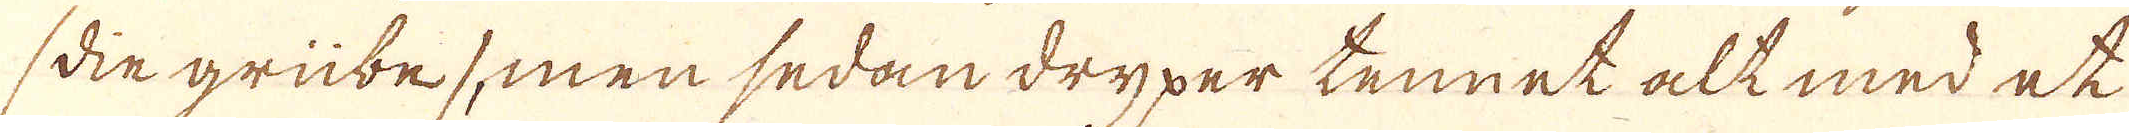/din grübe/ men sedan dryper tennet alt med et
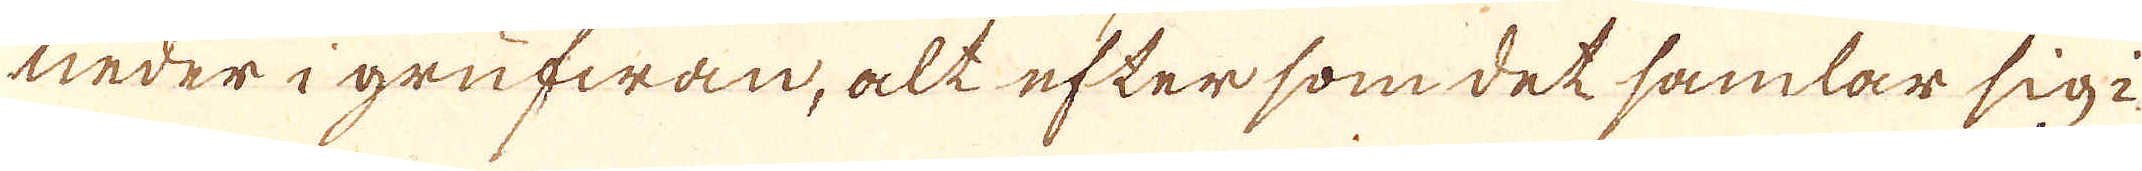neder i grufwan, alt efter som det samlar sig i
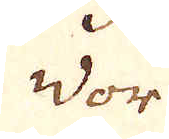vor
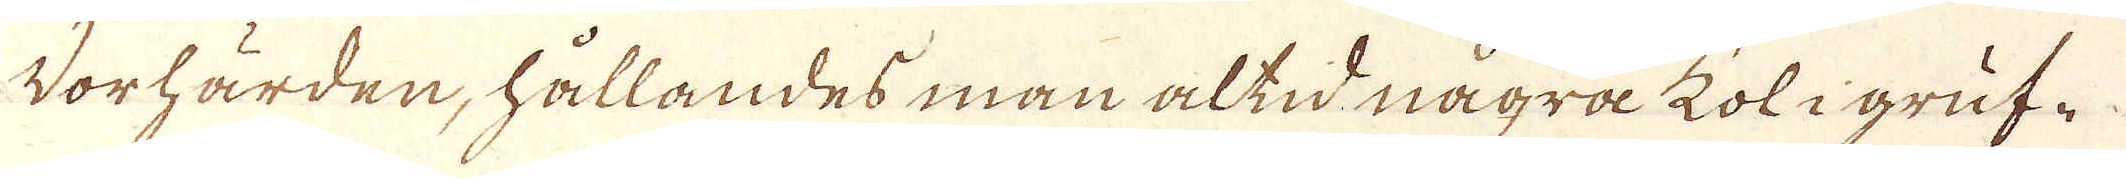Vorhärden, hållandes man altid några koligruf-
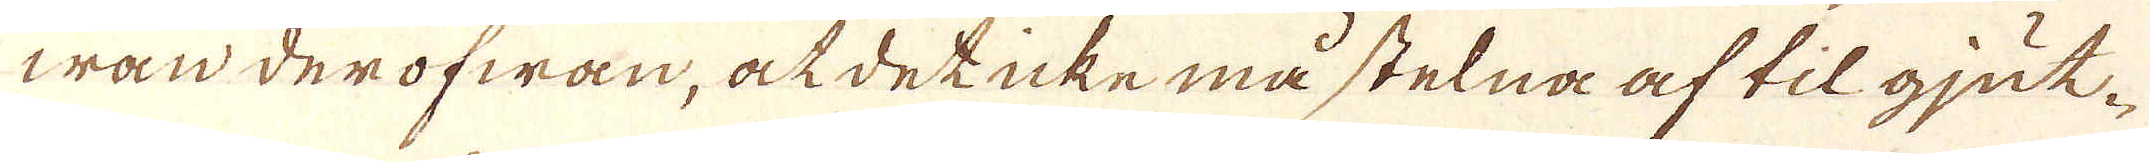wan derofwan, ak det icke må stelna af til gjut-
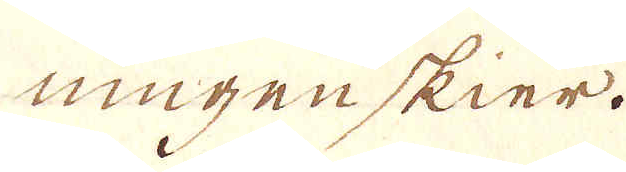ningen skier.
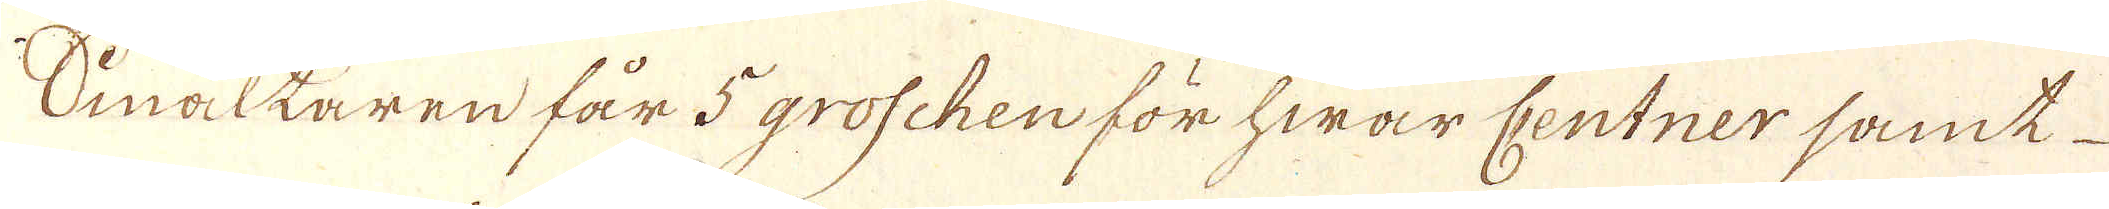Omältaren får 5 groschen för hwar Centner samt
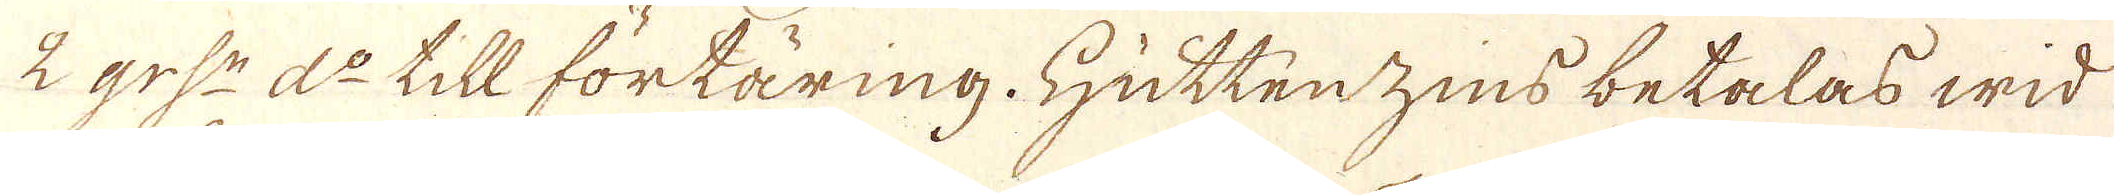2 grs:n d:o till förtäring. Hüttenzins betalas wid
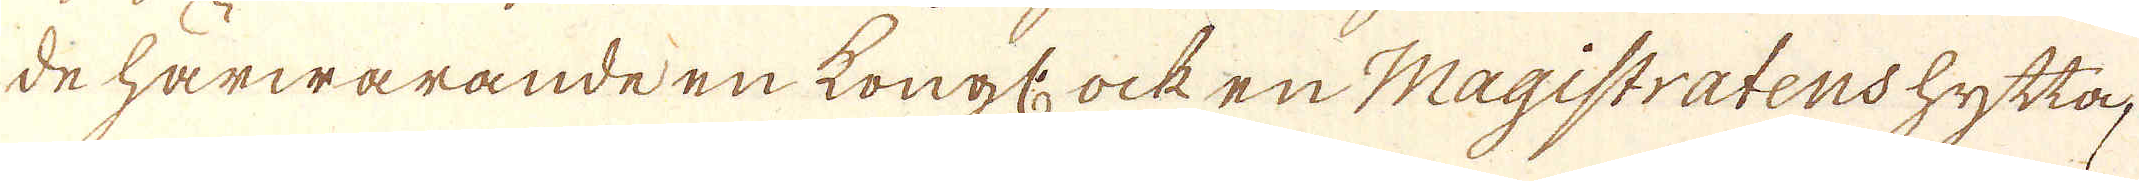de härwarande en kongl: ock en Magistratenshytta,
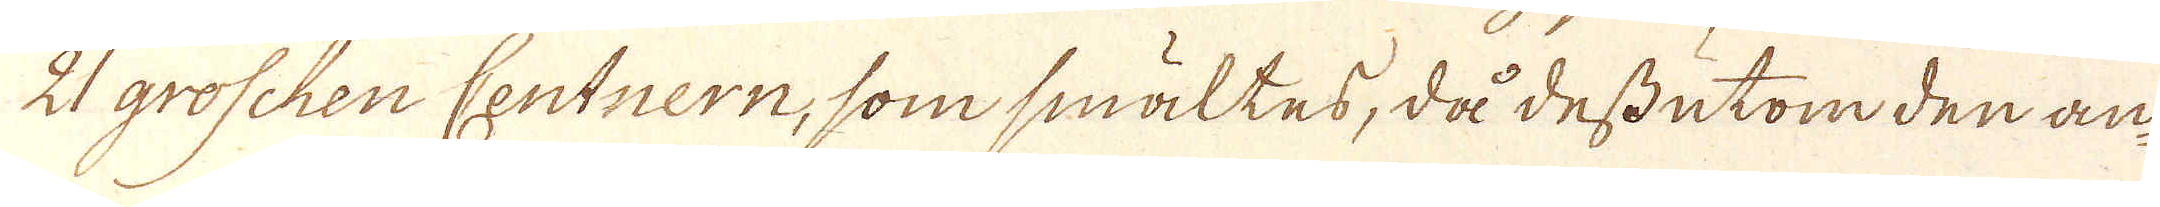21 groschen Centnern, som smältes, då dessutom den an-
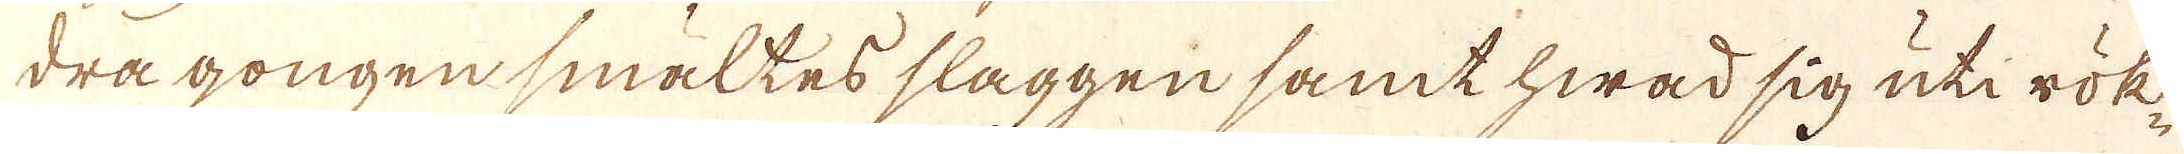dra gongen smältes slaggen samt hwad sig uti rök-
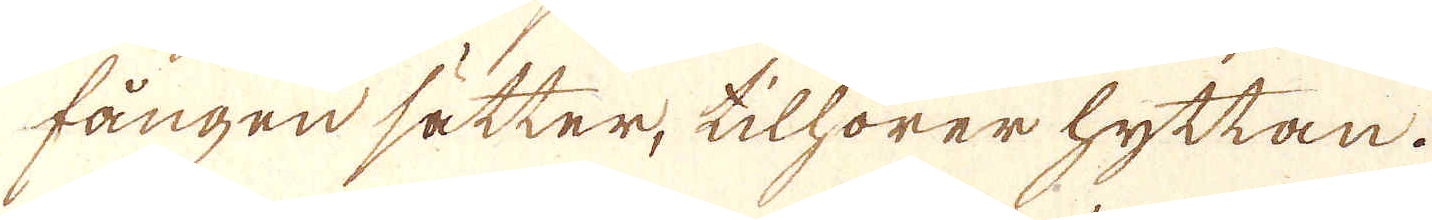fången sätter, tilhörer hyttan.
